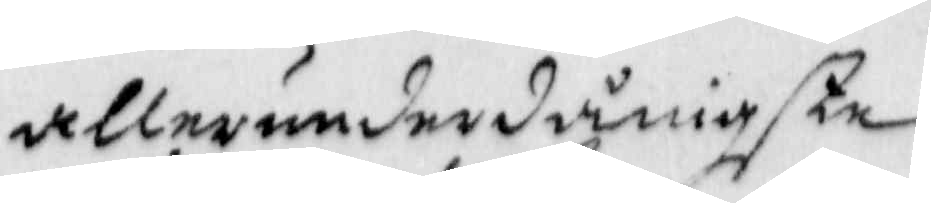allerunderdånigste
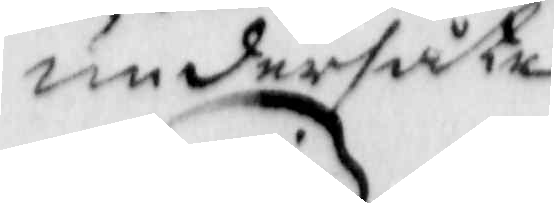undersåte
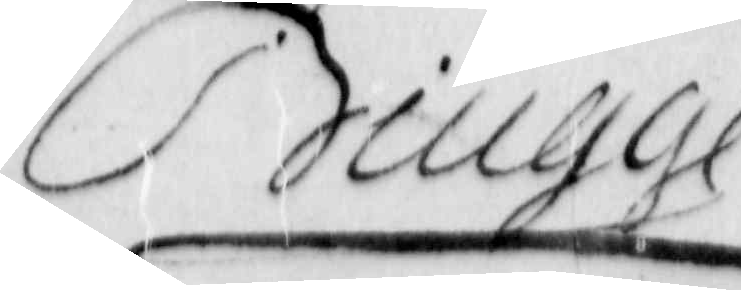Biugge
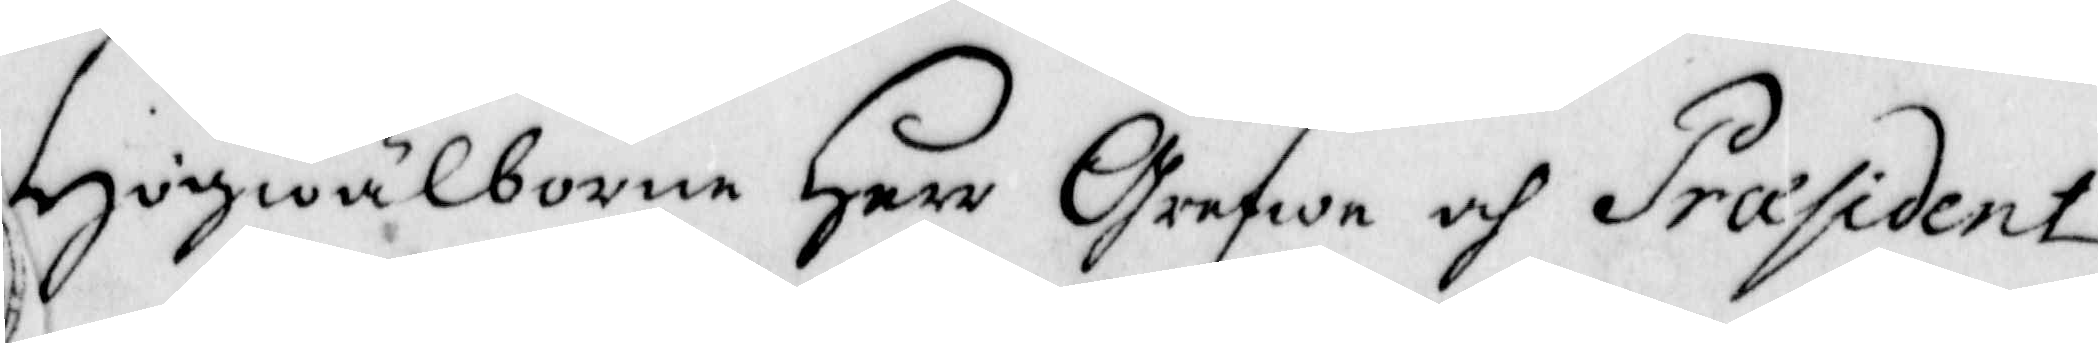Högwälborne Herr Grefwe och Præsident
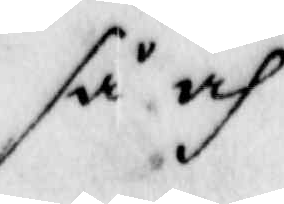så och
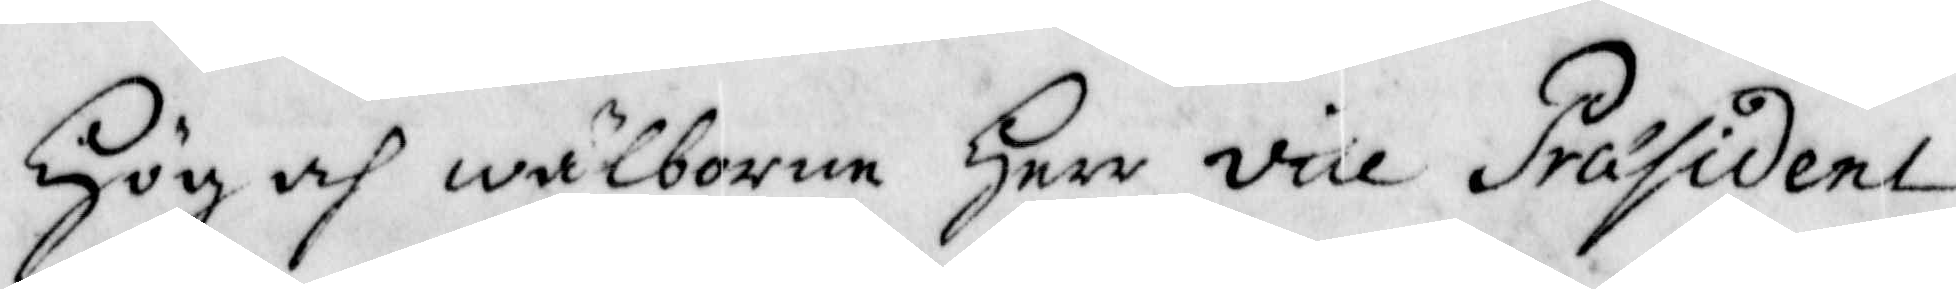Hög och wälborne Herr vice Präsident
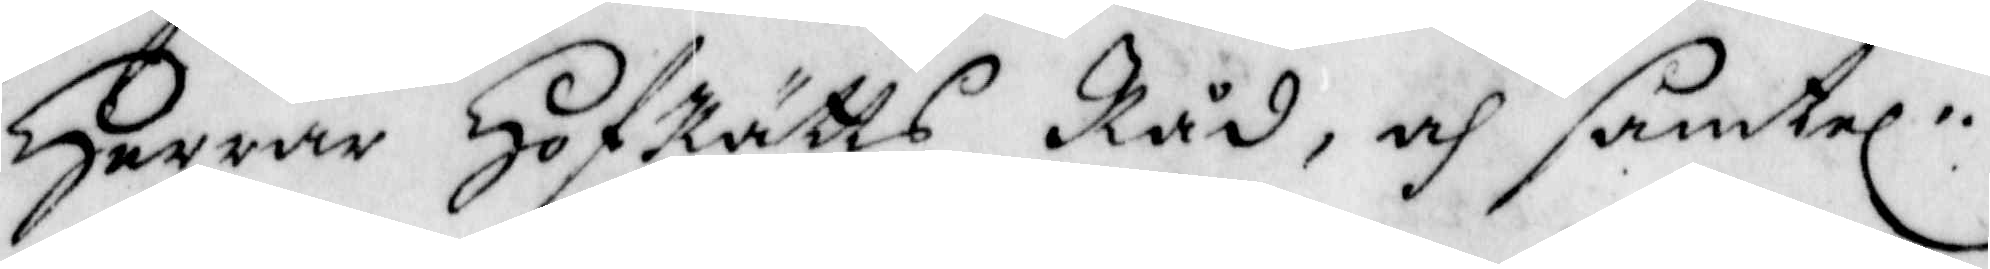Herrar HofRätts Råd, och samtel:
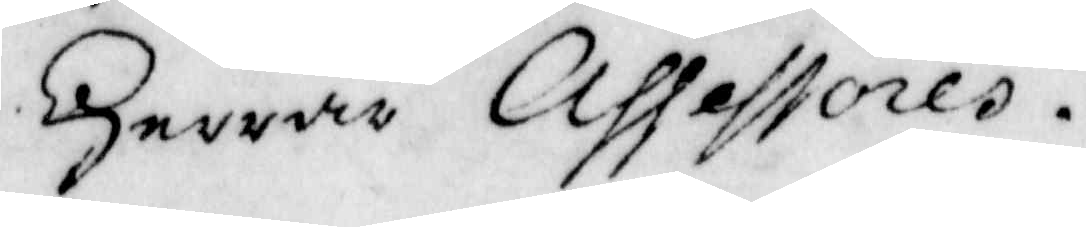Herrar Assessores.
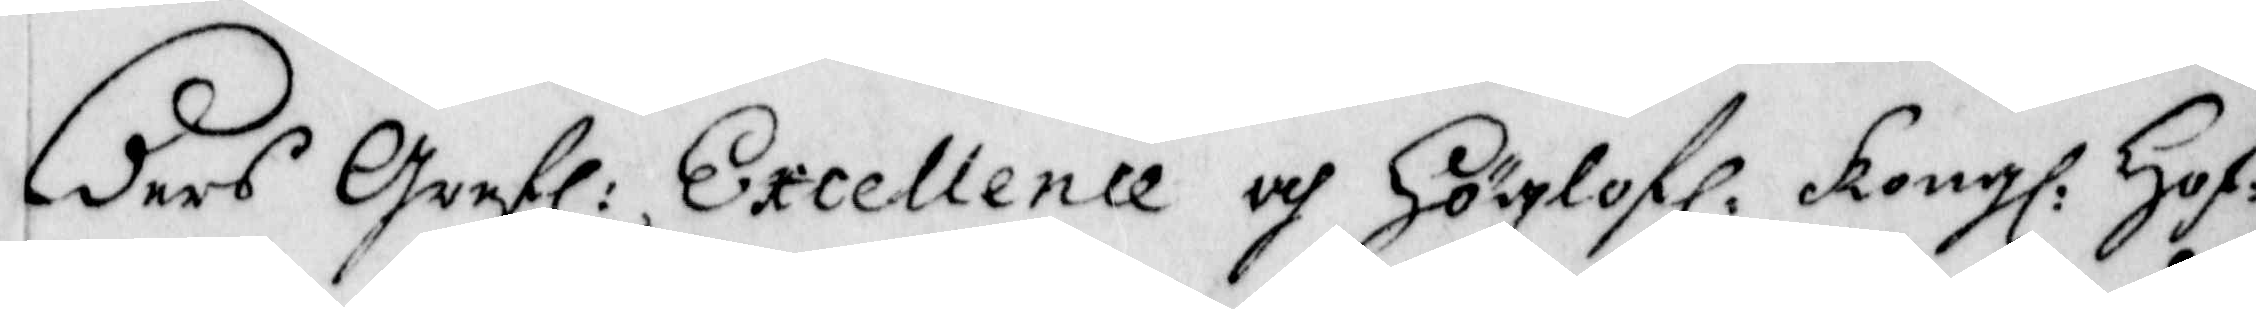Eders Grefl: Excellence och Höglofl: Kongl: Hof¬
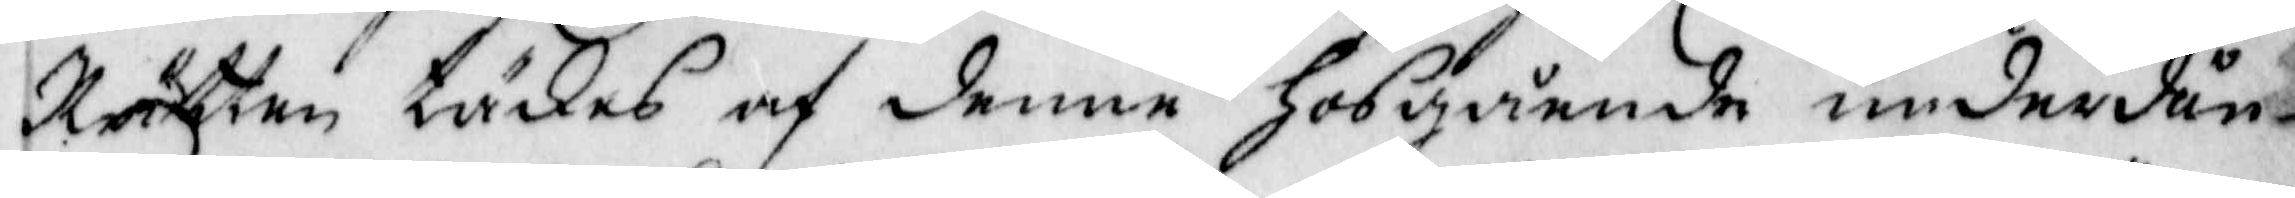Rätten täkes af denne Hosgående underdån¬
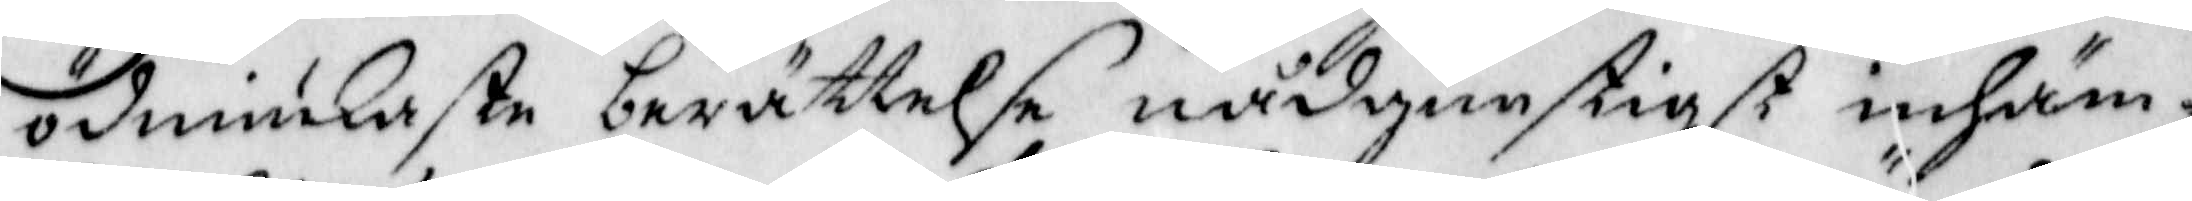ödmiukaste berättelse nådgunstigst inhäm¬
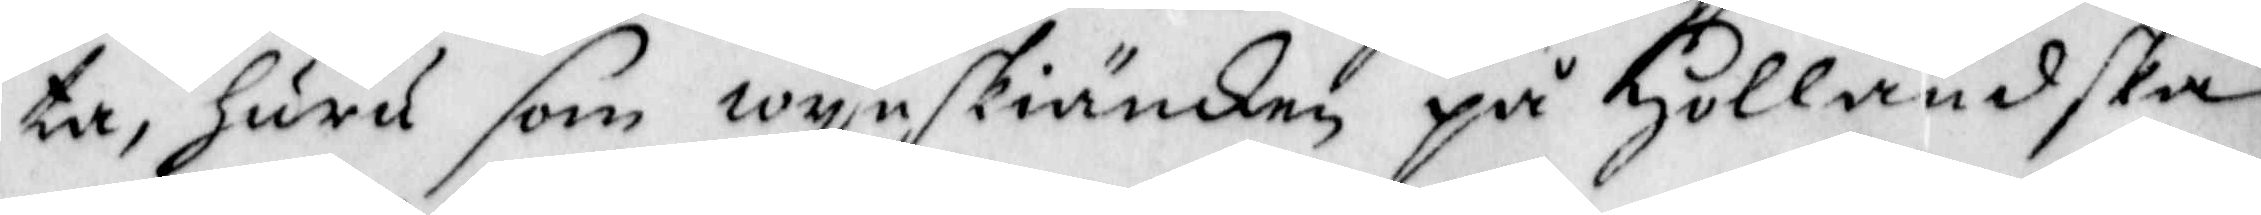ta, Huru som wynskiänken på Holländska
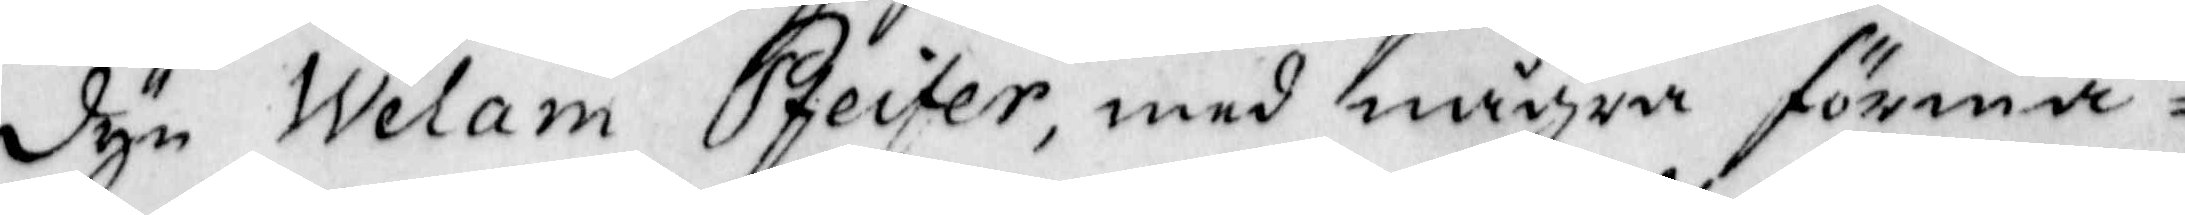dyn Welam Pfeifer, med några förmä¬
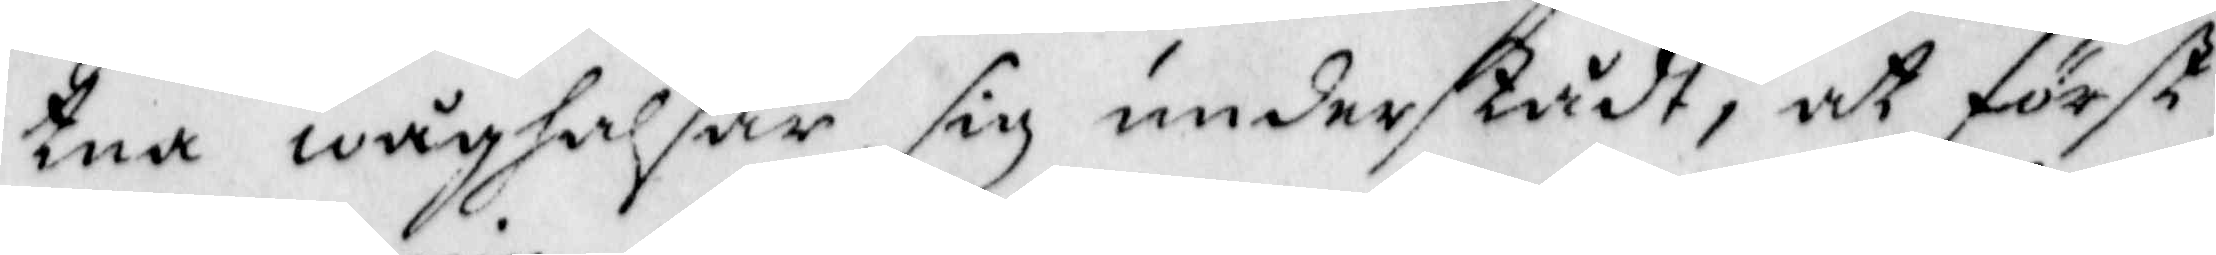tna wåghalsar sig understådt, at först
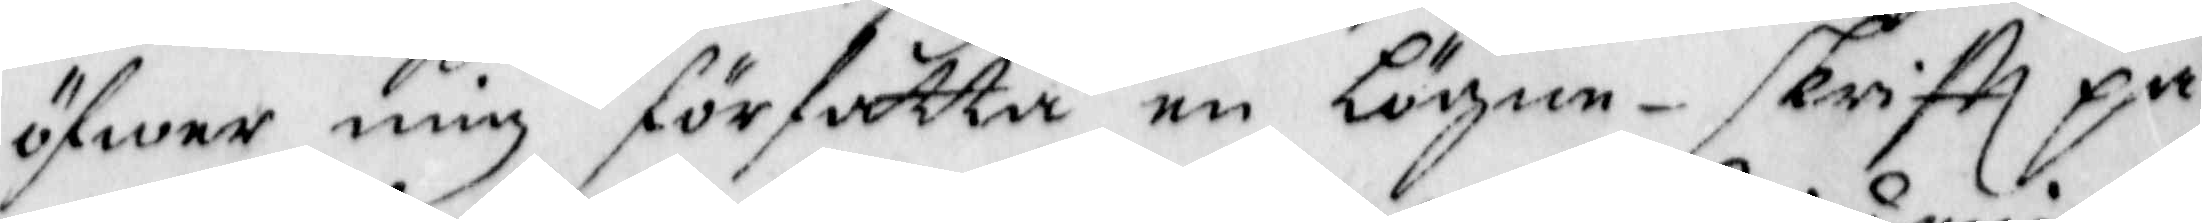öfwer mig författa en Lögne-skriftt på
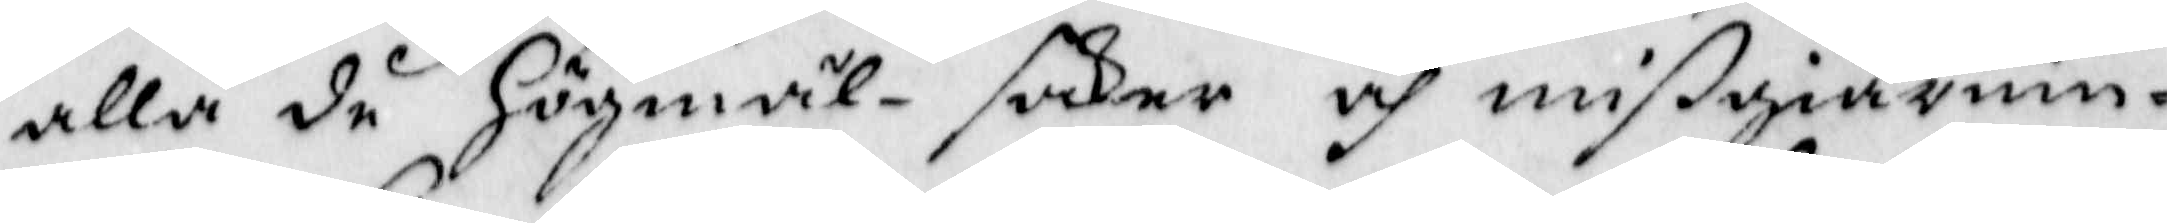alla de Högmäl-saker och migiärnin¬
